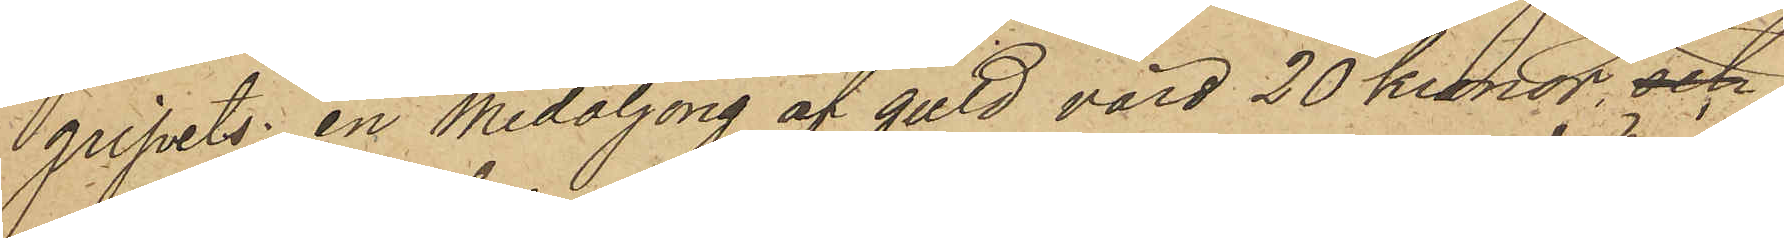gripits: en medaljong af guld, värd 20 kronor, och
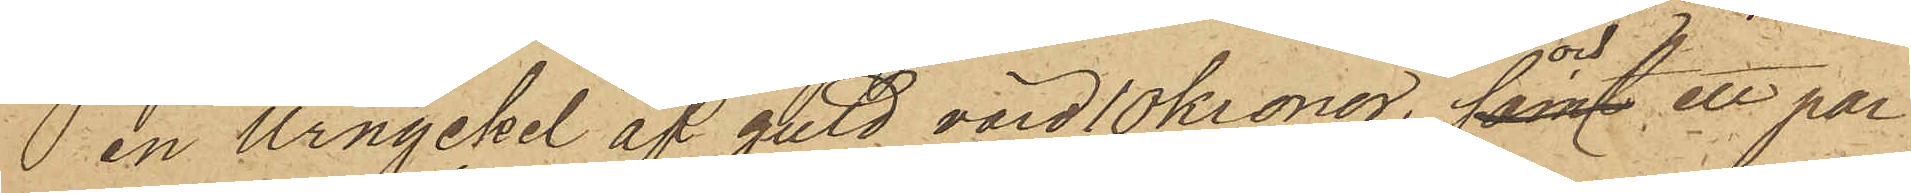 en urnyckel af guld, värd 10 kronor, samt och ett par
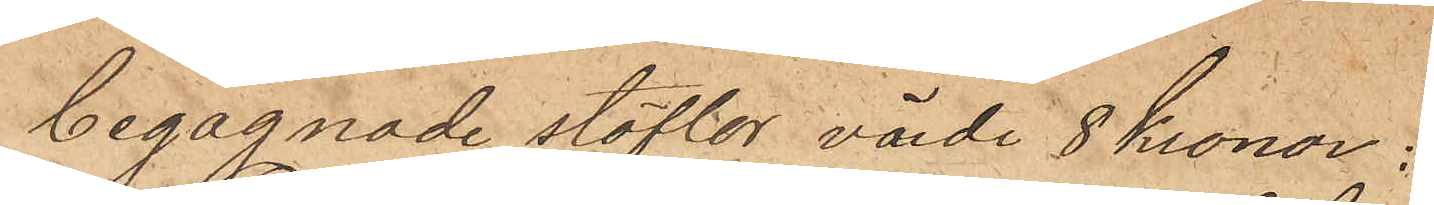begagnade stöflor värde 8 kronor;
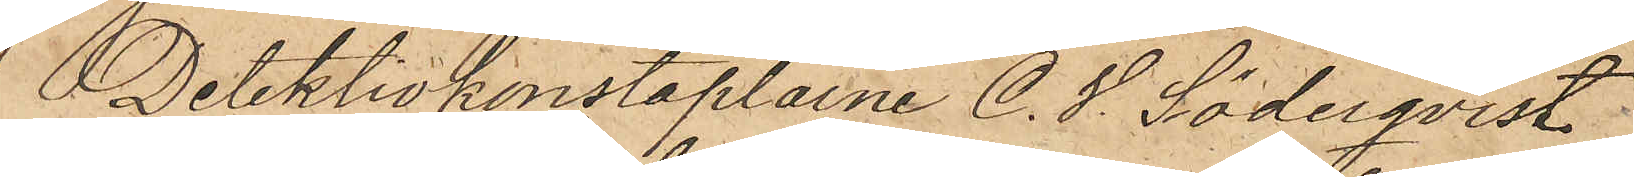Detektivkonstaplarne C. S. Söderqvist
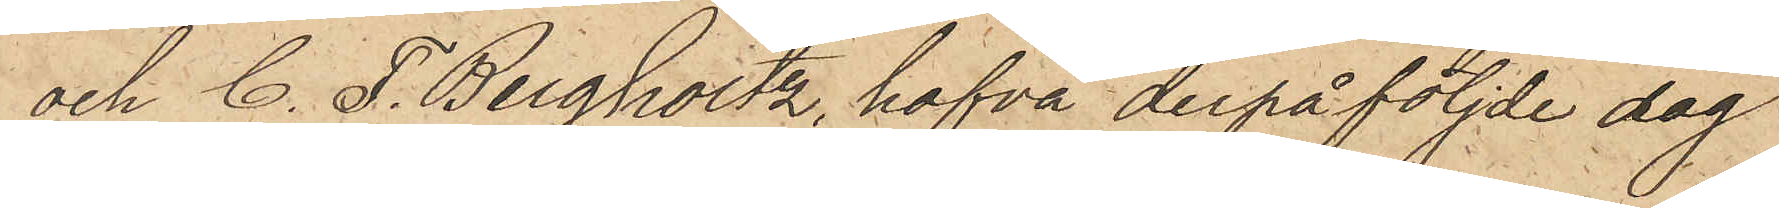och C. F. Bergholtz, hafva derpåföljde dag
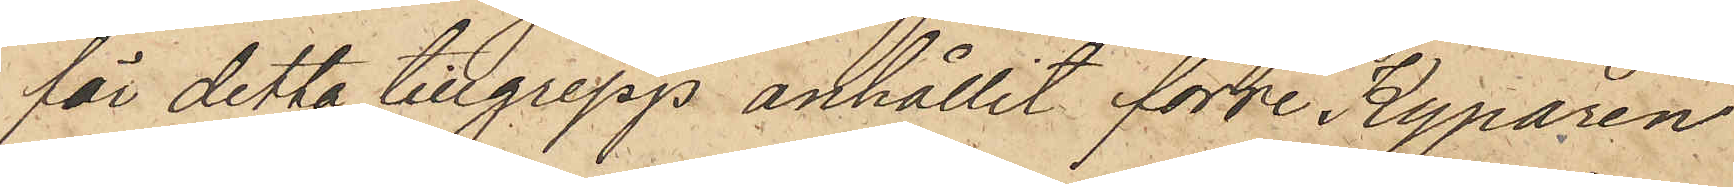för detta tillgrepp anhållit förre Kyparen
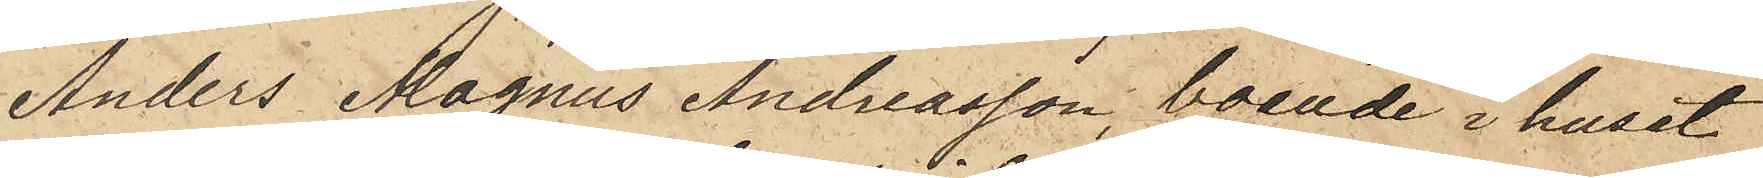Anders Magnus Andreasson, boende i huset
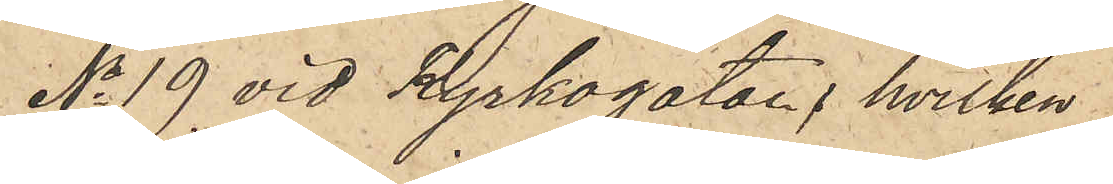No 19 vid Kyrkogatan, hvilken
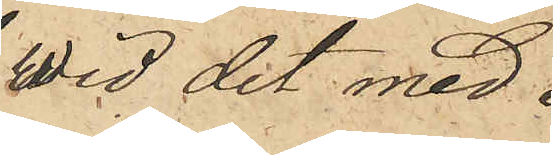wid det med 
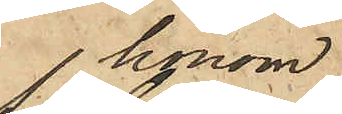honom
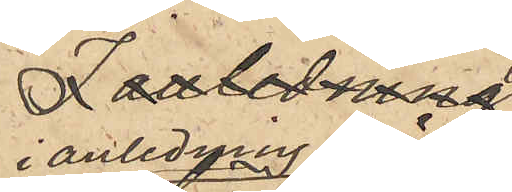i anledning häraf
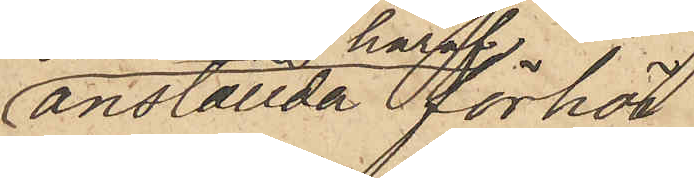anställda förhör
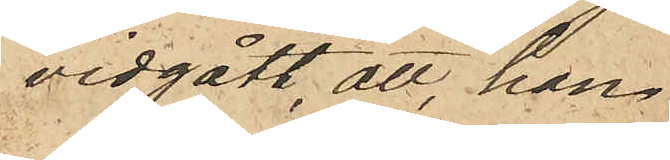vidgått, att han
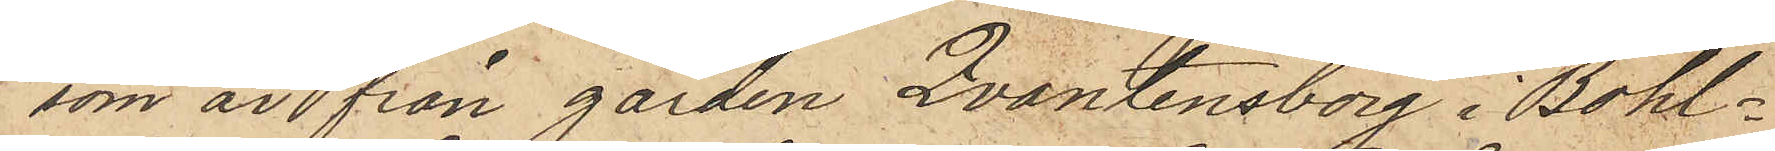som är från gården Quantensborg i Bohl¬
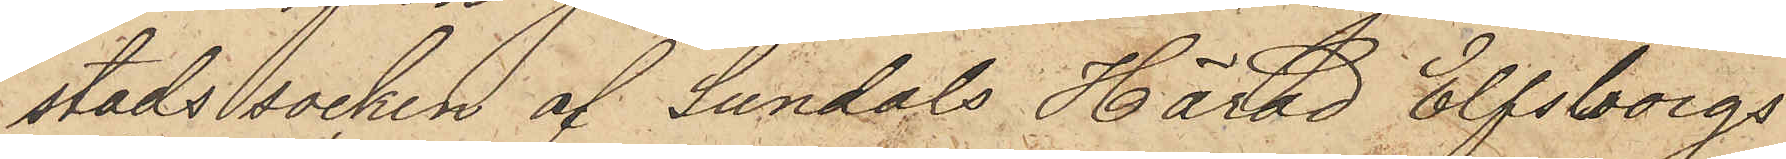stads socken af Sundals Härad Elfsborgs
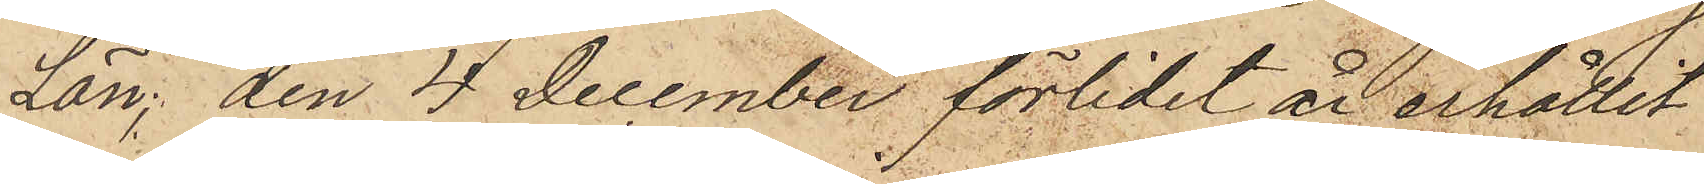Län, den 4 December förlidet år erhållit
